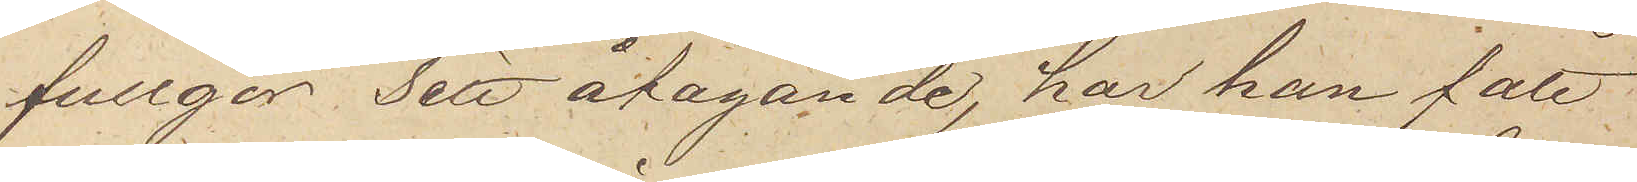fullgör Sitt åtagande, har han fått
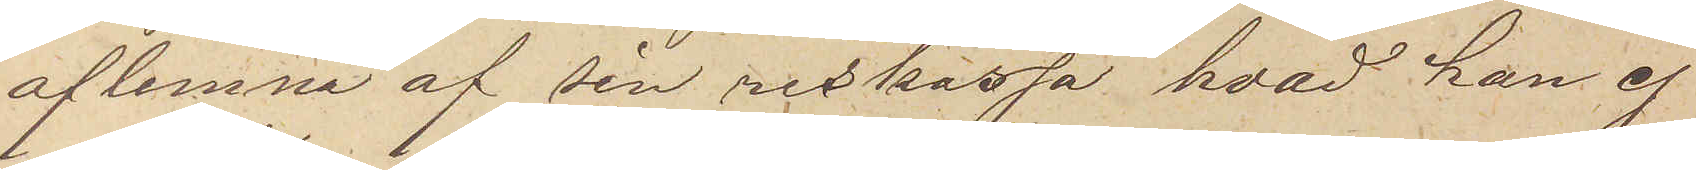aflemna af sin reskassa hvad han ej
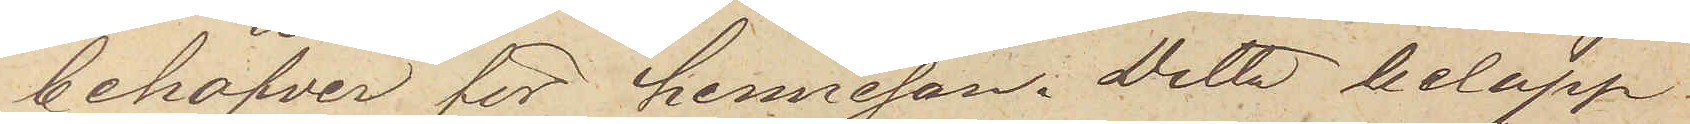behöfver för hemresan. Detta belopp
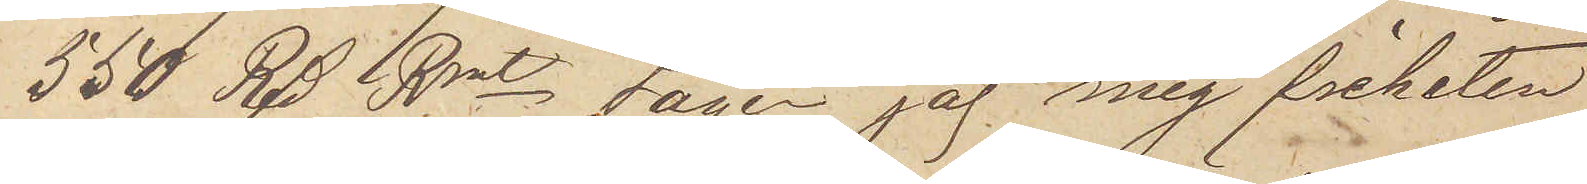550 Rdr Rmt tager jag mig friheten
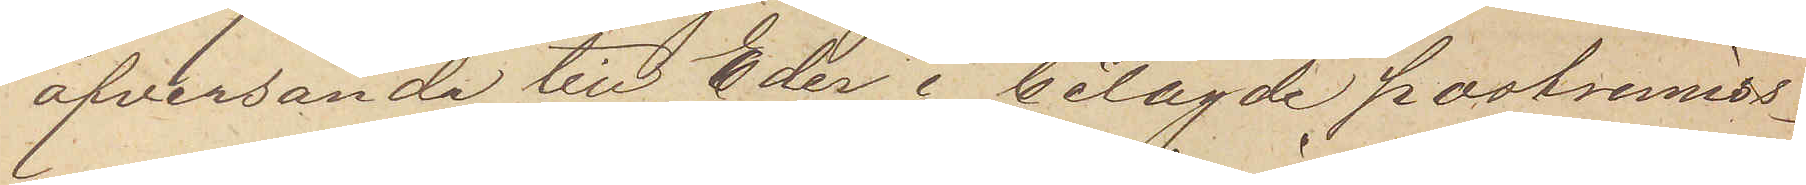öfversända till Eder i bilagde postremiss¬
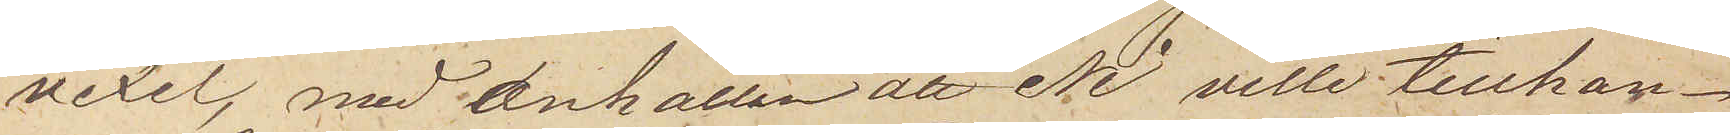vexel, med anhållan att Ni ville tillhan¬
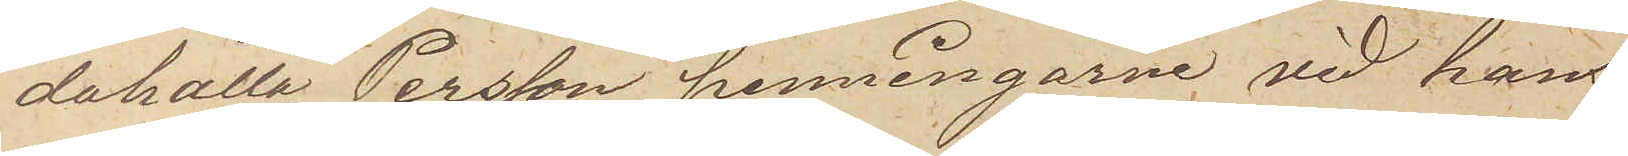dahålla Persson penningarne vid hans
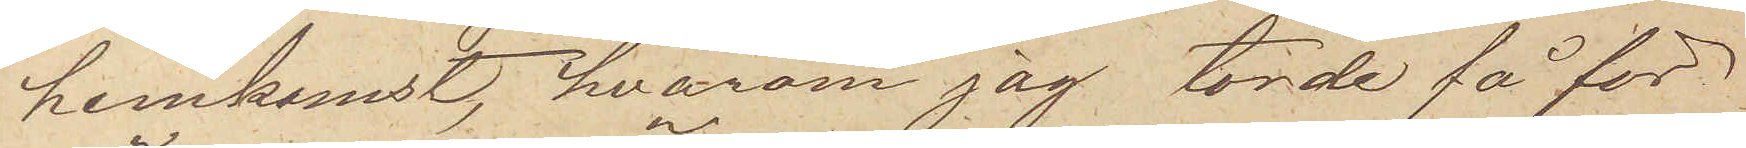hemkomst, hvarom jag torde få för¬
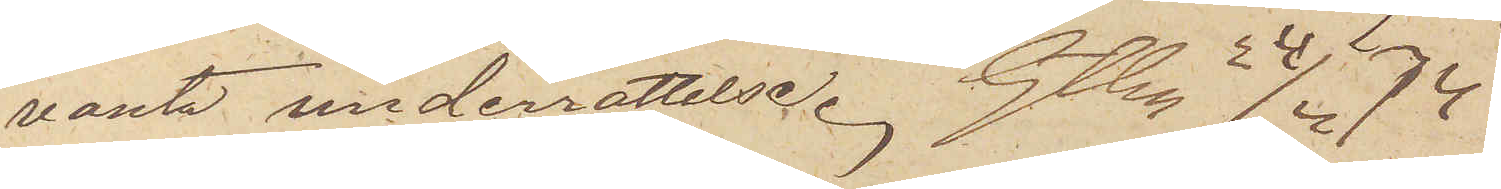vänta underrättelse. Gtbg d. 24/4 74
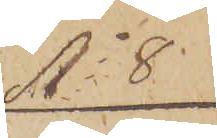No 8
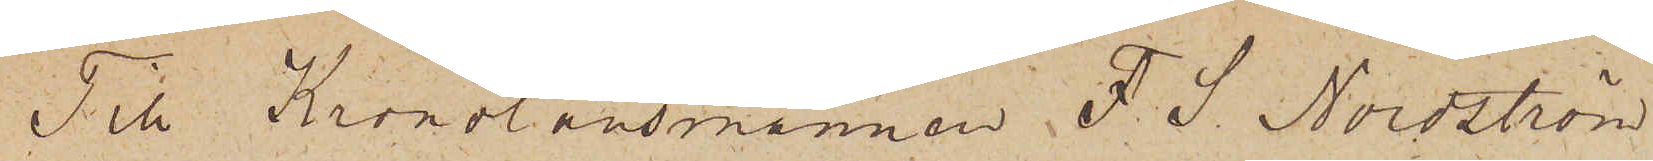Till Kronolänsmannen F. S. Nordström
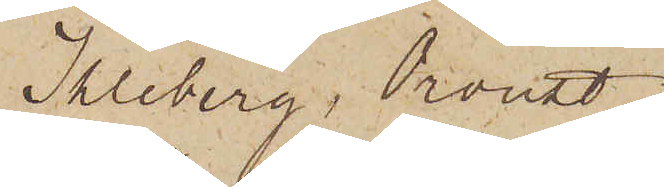Kleberg, Oroust
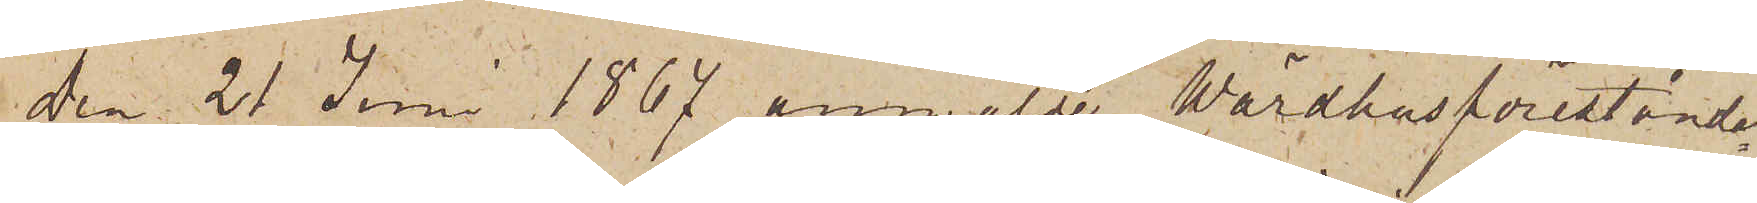Den 21 Juni 1867 anmälde Wärdhusförestånda¬
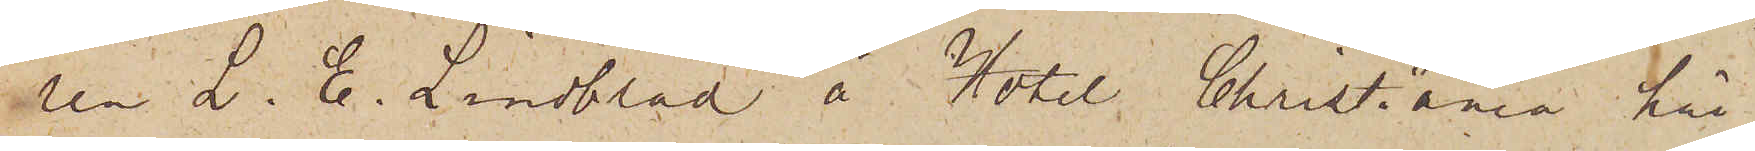ren L. E. Lindblad å Hotel Christiania här¬
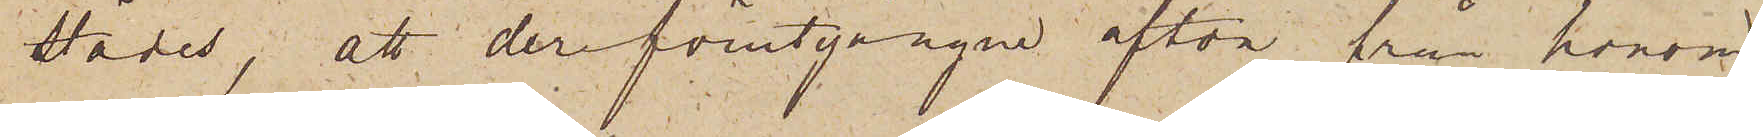städes, att derförutgångne afton från honom
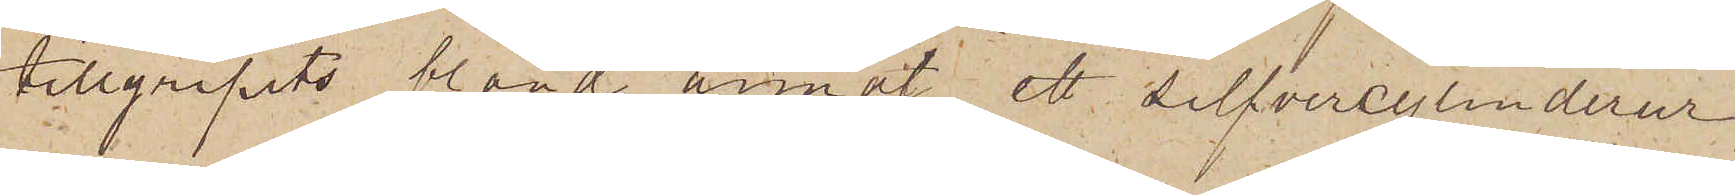tillgripits bland annat ett silfvercylinderur,
